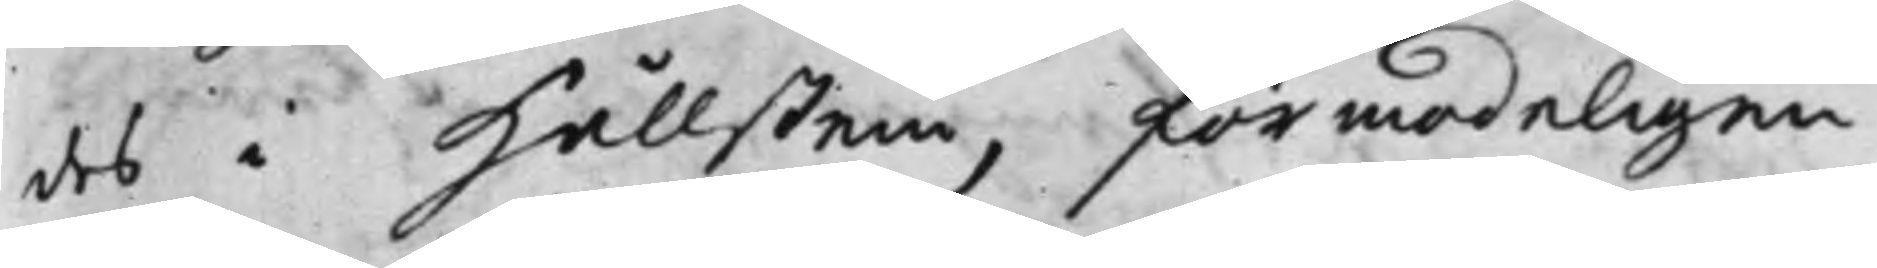des i Hållstein, förmodeligen
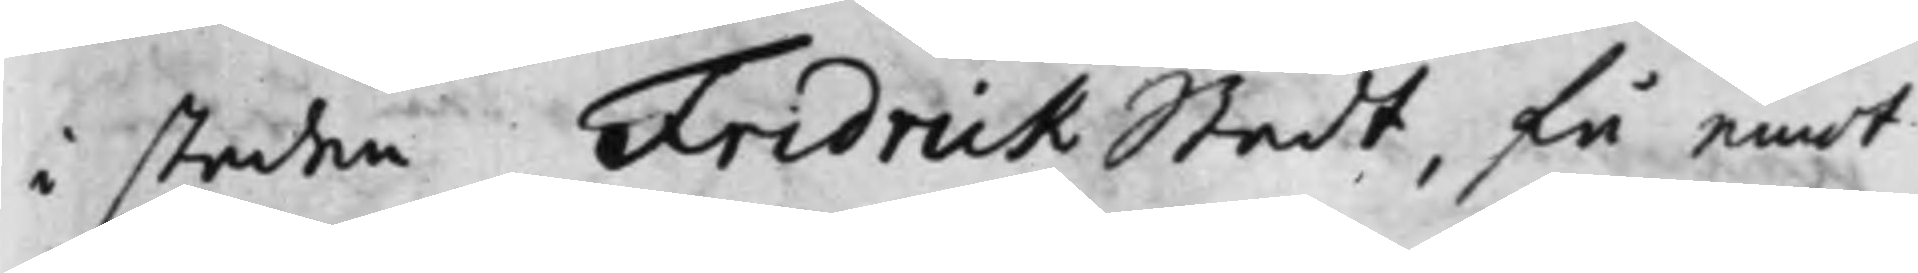i staden FredrickStadt, få emot
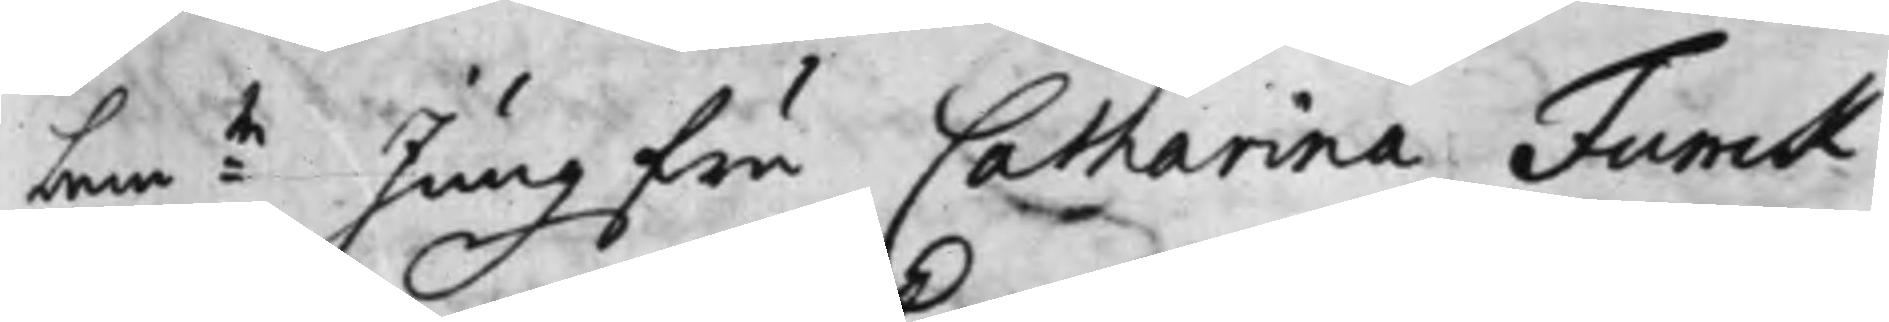bem:te Jungfru Catharina Funck
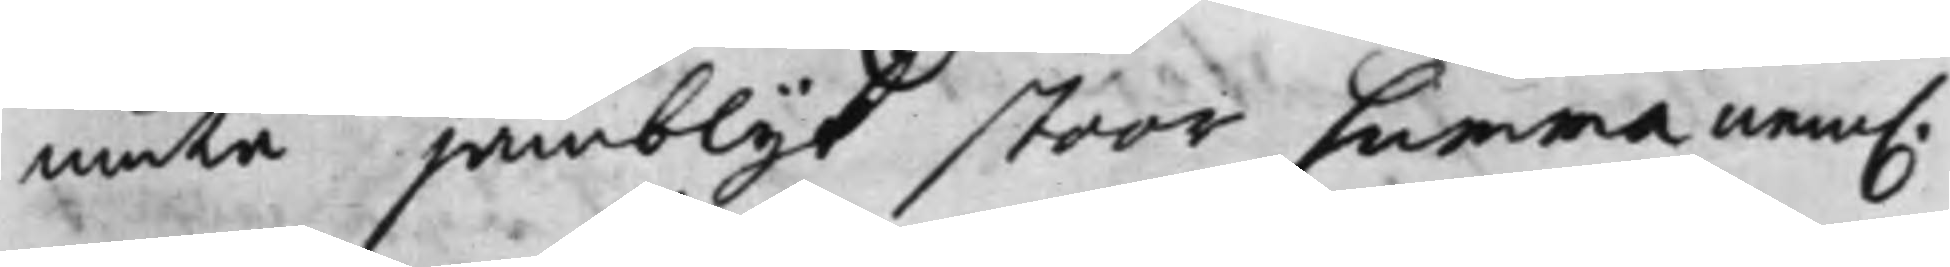niuta jämblijk stoor Summa, nem.
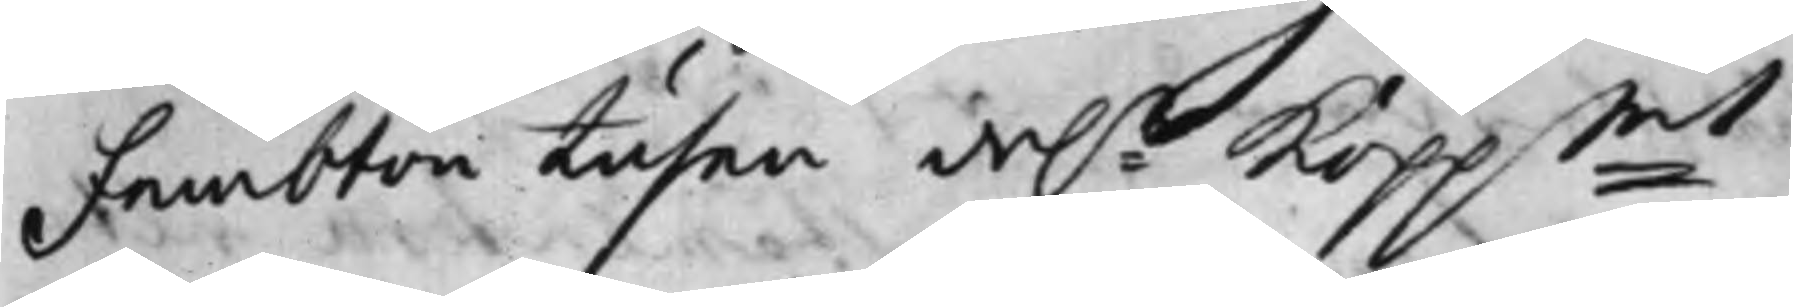Fembton tusen da:r Kopp:mt;
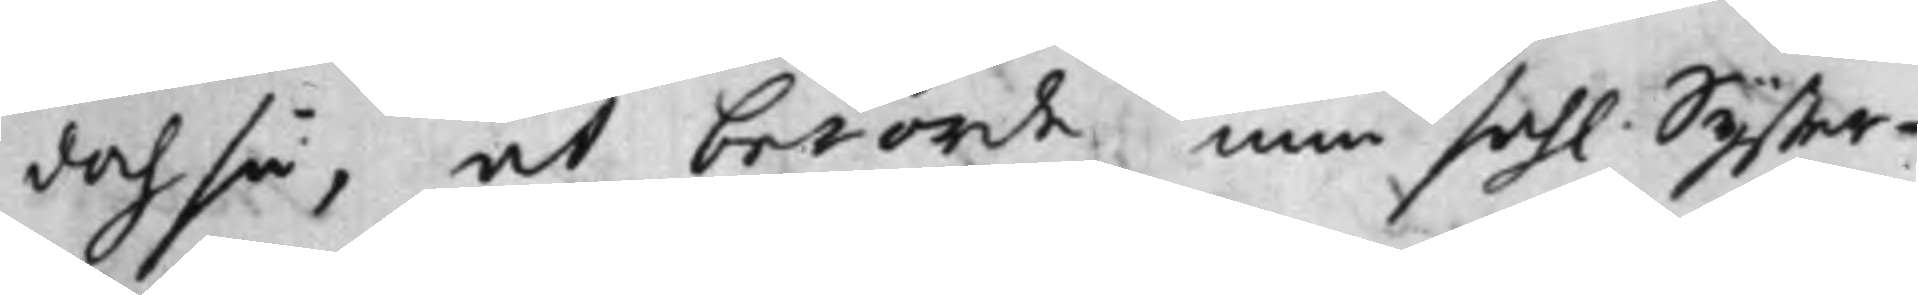doch så, at berörde min sah. Syster¬
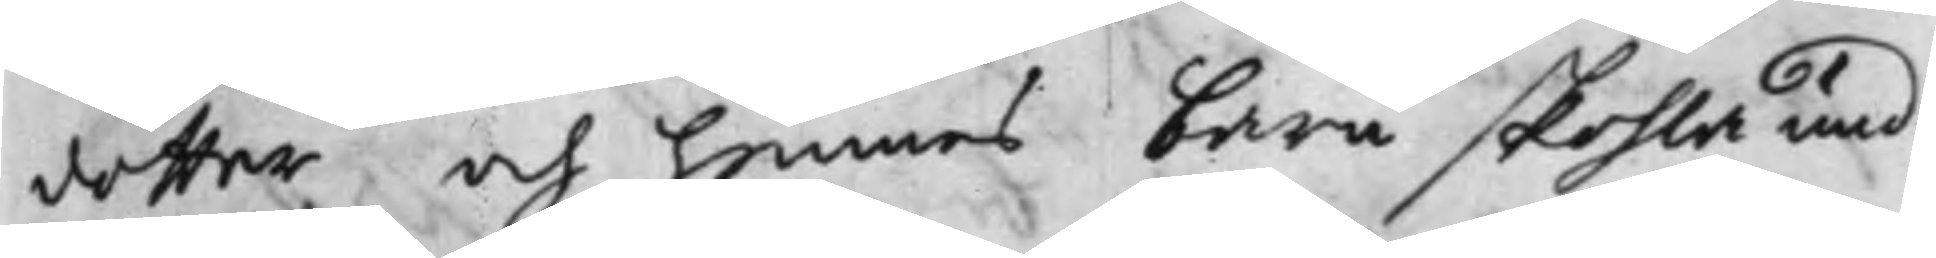dotter och hennes barn skohla und¬
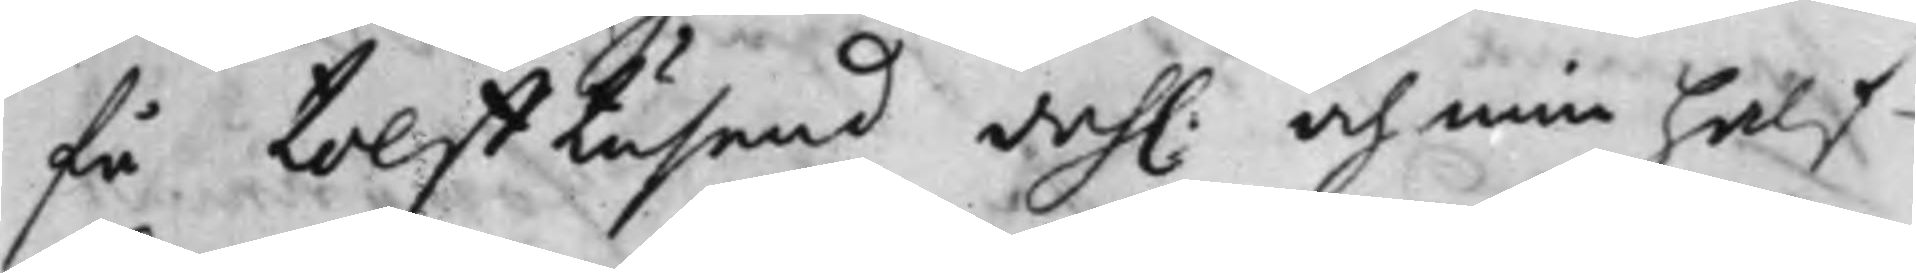få tolfftusend dah. och min half¬
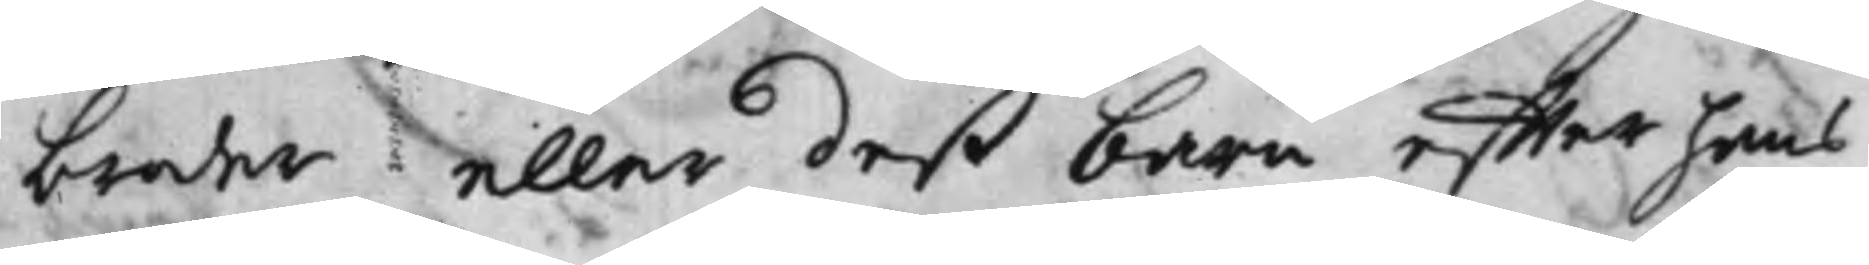broder eller deß barn effter hans
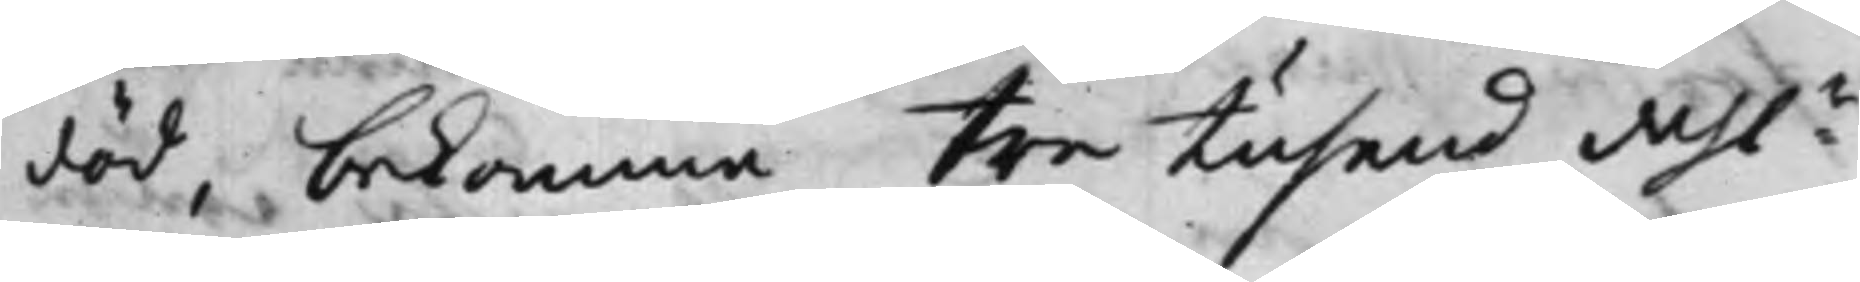död, bekomma Tre Tusend dah:r
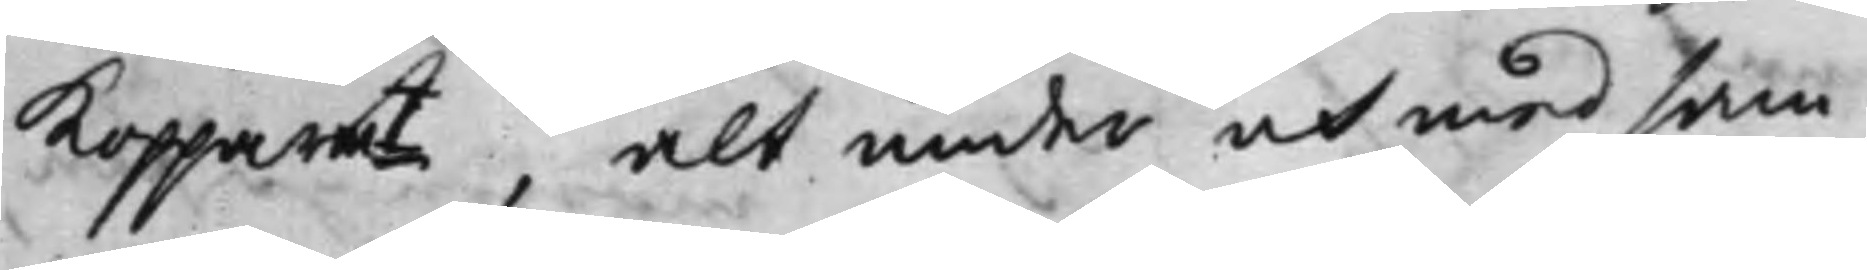Koppar.mt, alt under och med sam¬
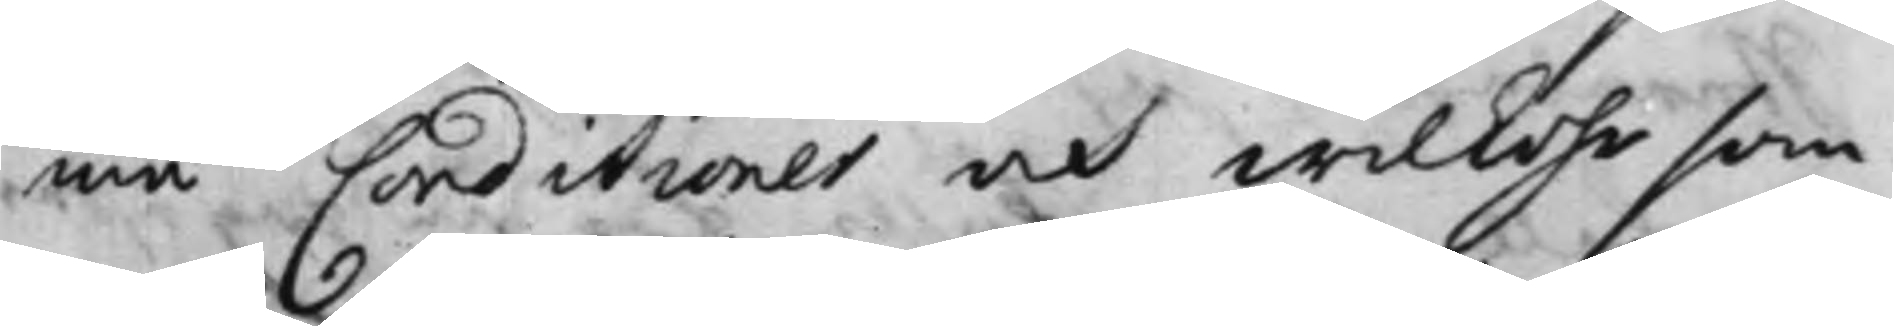ma Conditioner och wilkohr som
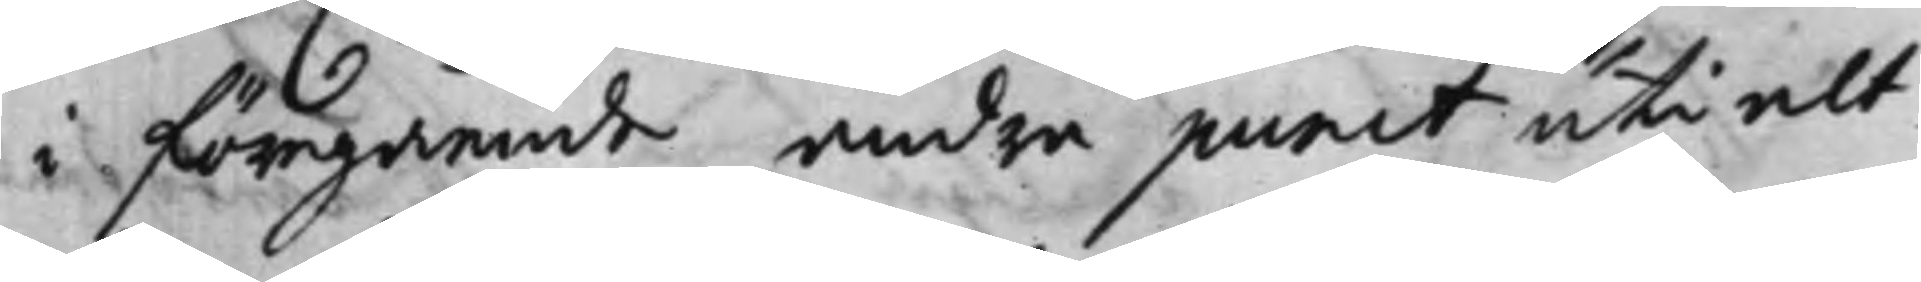i föregående andra punct uti alt
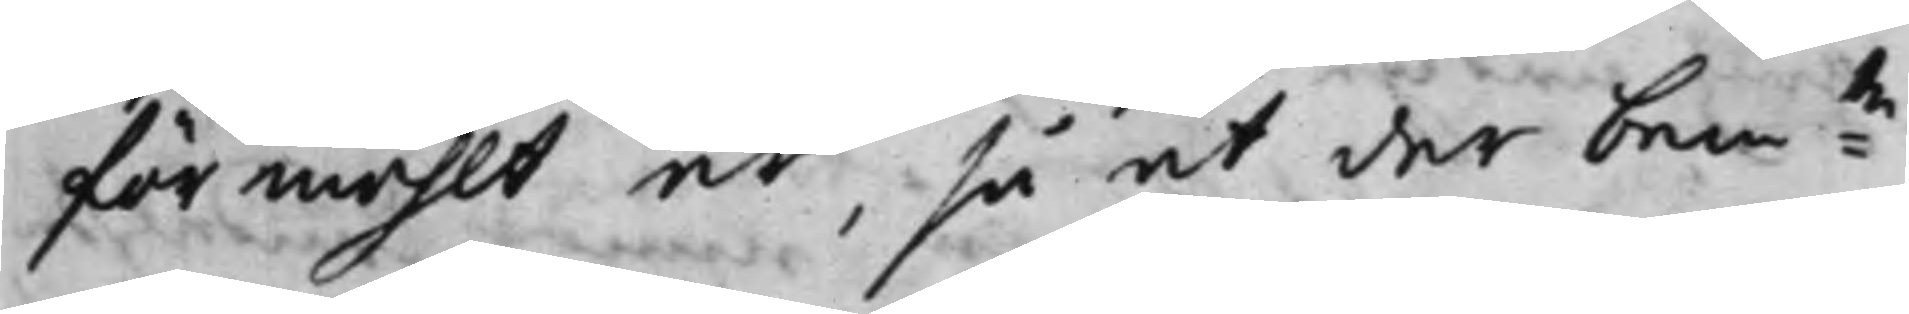förmählt är, så at der bem:te
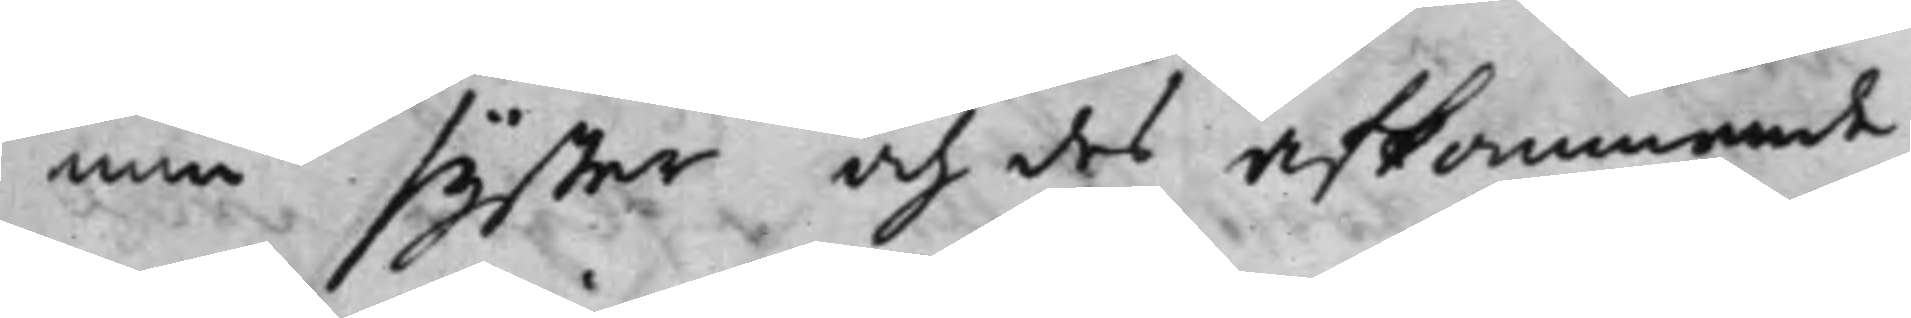min syster och des afkommande,
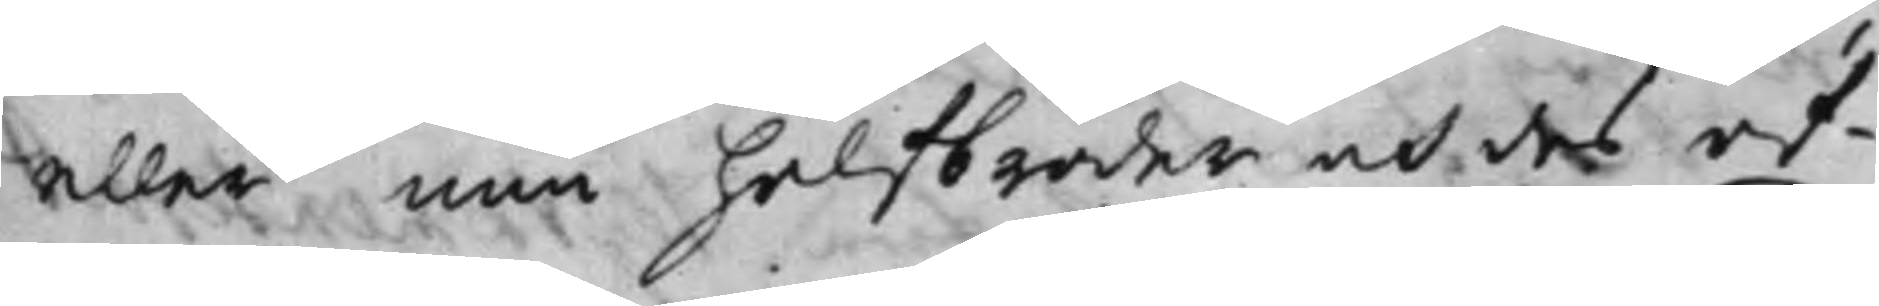eller min halfbroder och des af¬
